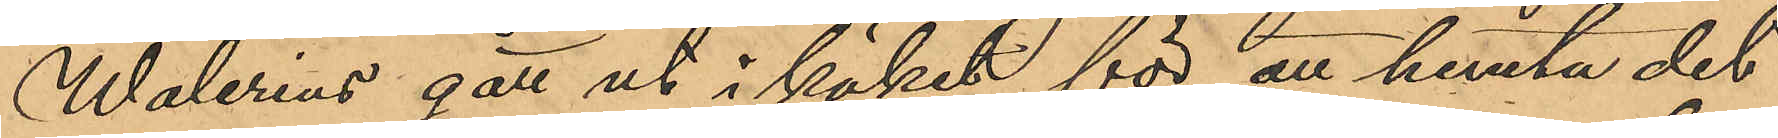Walerius gått ut i köket för att hemta det
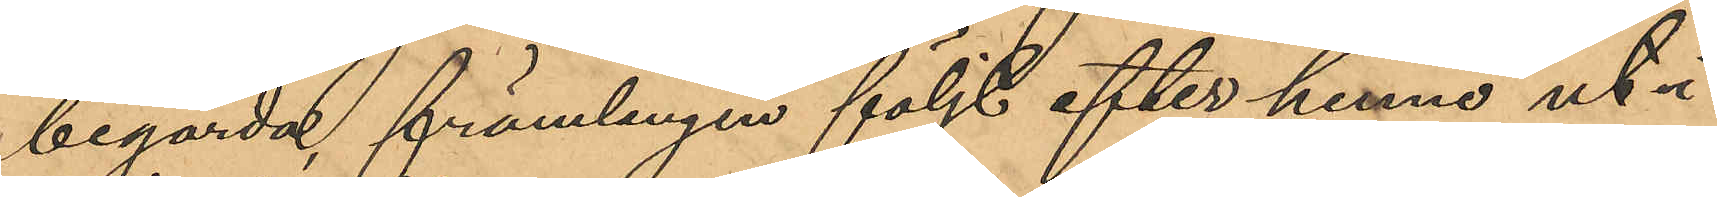begärda, främlingen följt efter henne ut i
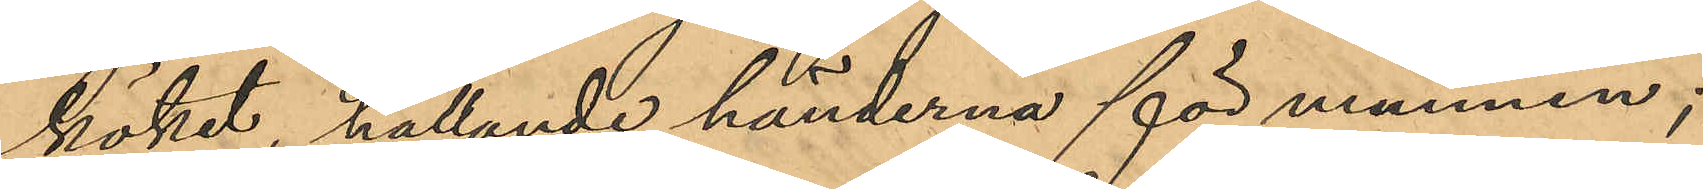köket, hållande händerna för munnen;
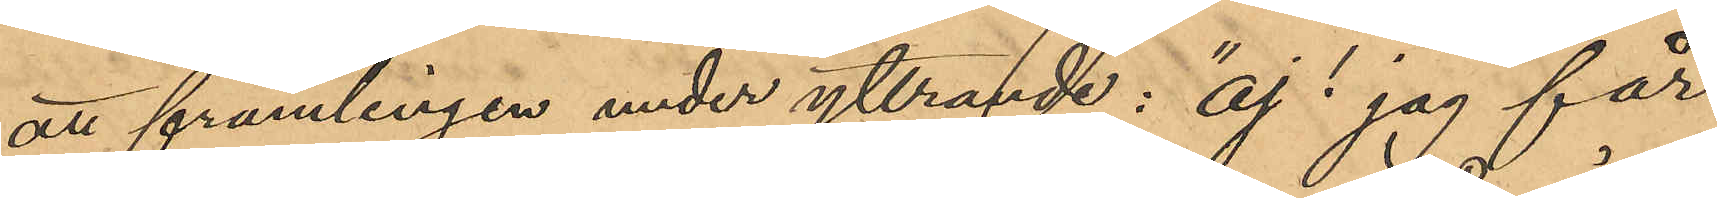att främlingen under yttrande: "aj! jag får
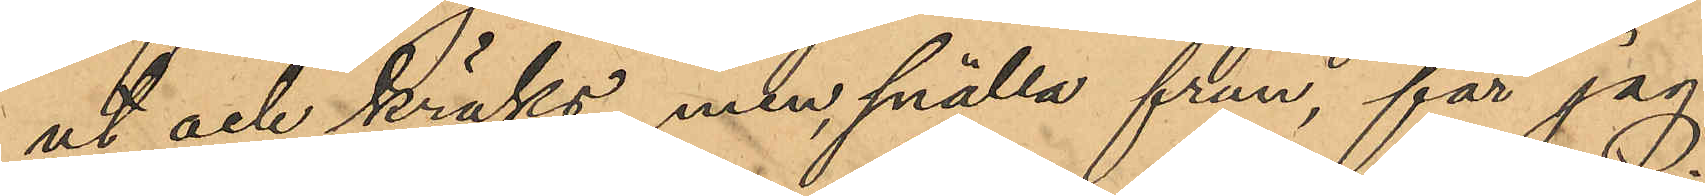ut och kräks, men smälla frun, får jag
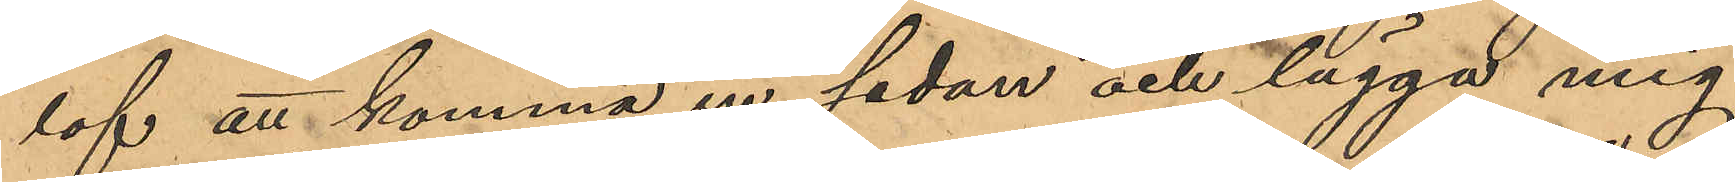lof att komma in sedan och lägga mig
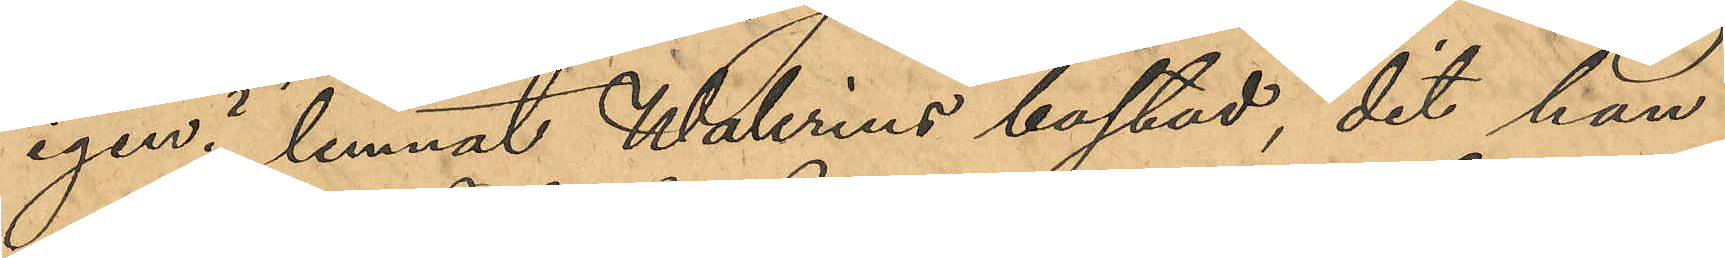igen?" lemnat Walrius bostad, dit han
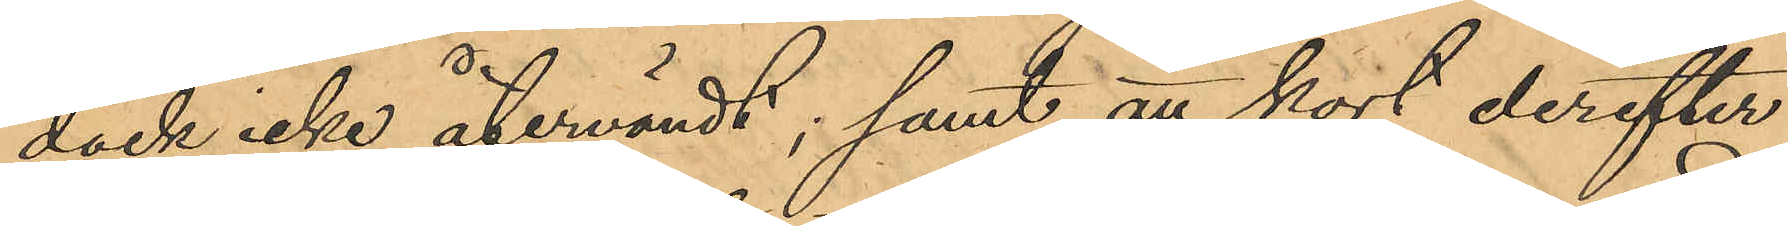dock icke återvändt; samt att kort derefter
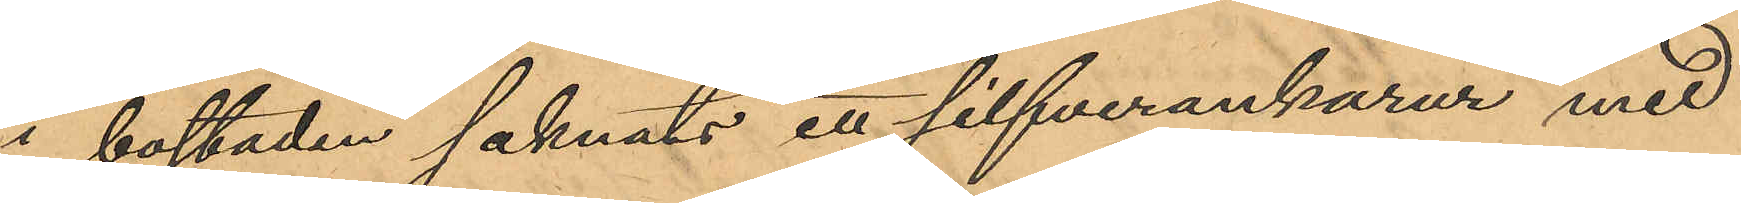i bostaden saknats ett silfverankarur med
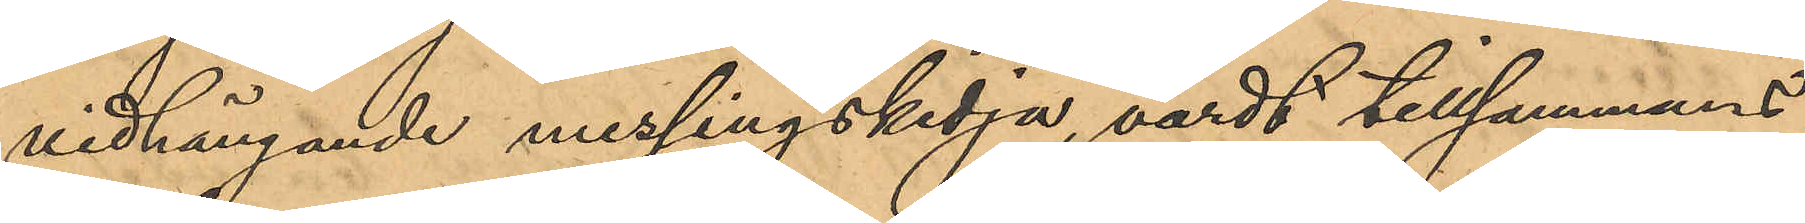vidhängande messingskedja, värdt tillsammans
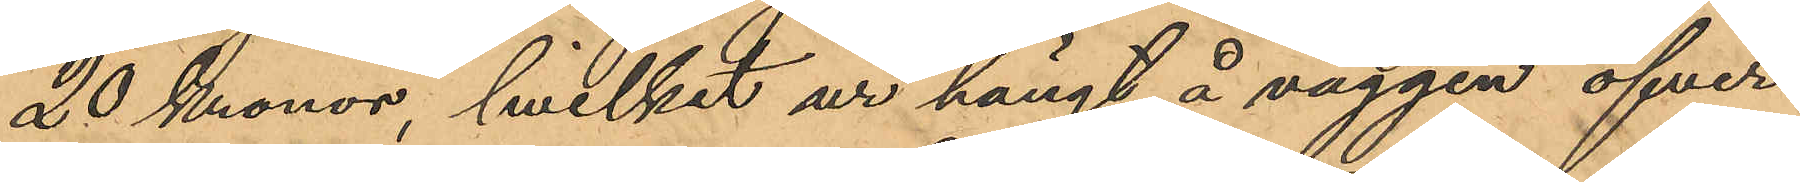20 Kronor, hvilket ur hängt å väggen öfver
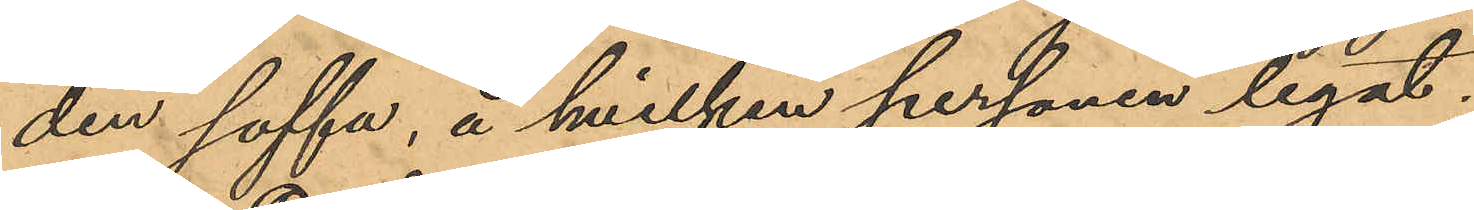den soffa, å hvilken personen legat;
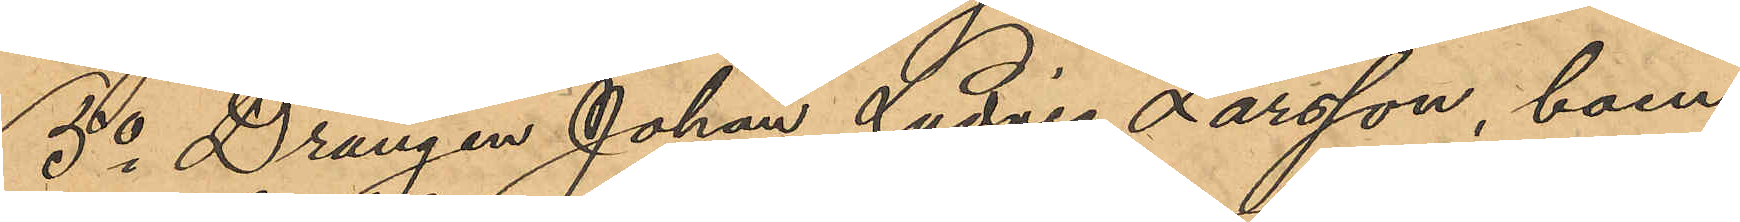5o Drängen Johan Ludvig Larsson, boen¬
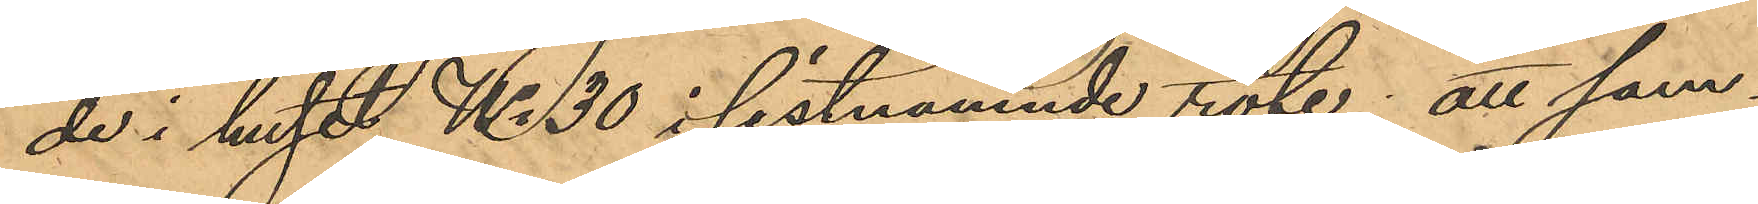de i huset No 30 i sistnämnde rote; att sam¬
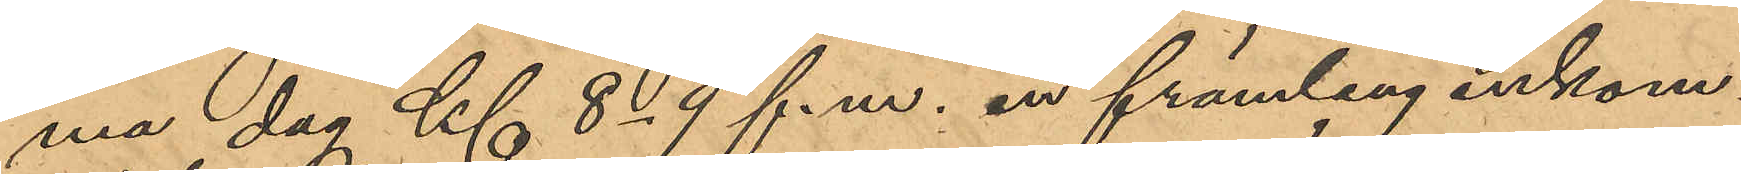ma dag Kl 8-9 f.m., en främling inkom¬
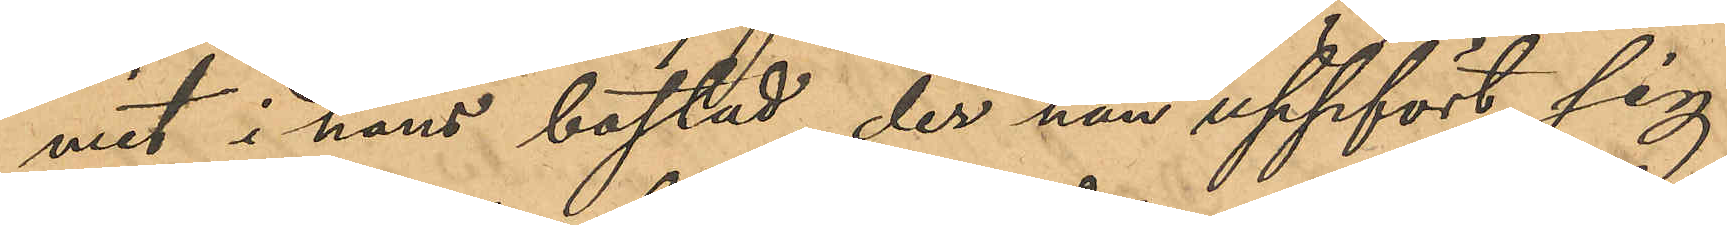mit i hans bostad, der han uppfört sig
